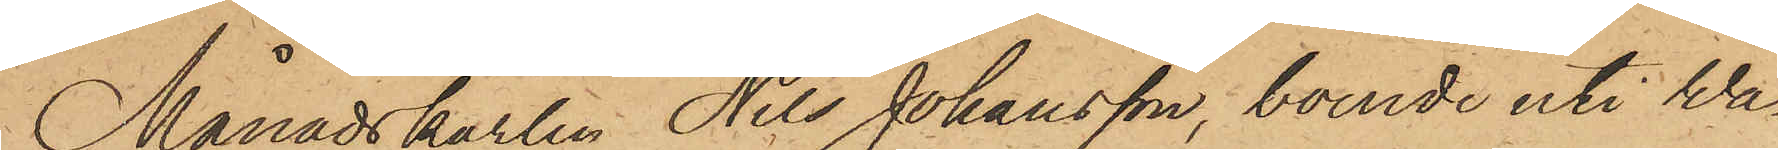Månadskarlen Nils Johansson, boende uti Wa¬
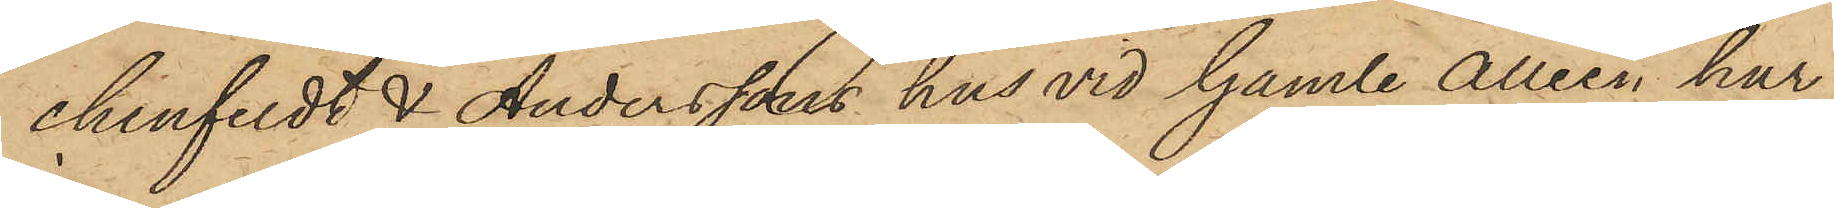chenfeldt & Anderssons hus vid Gamle Alleén, har
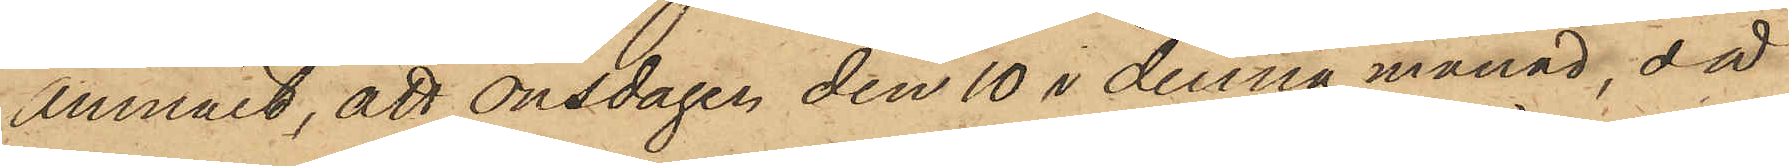anmält, att Onsdagen den 10 i denna månad, då
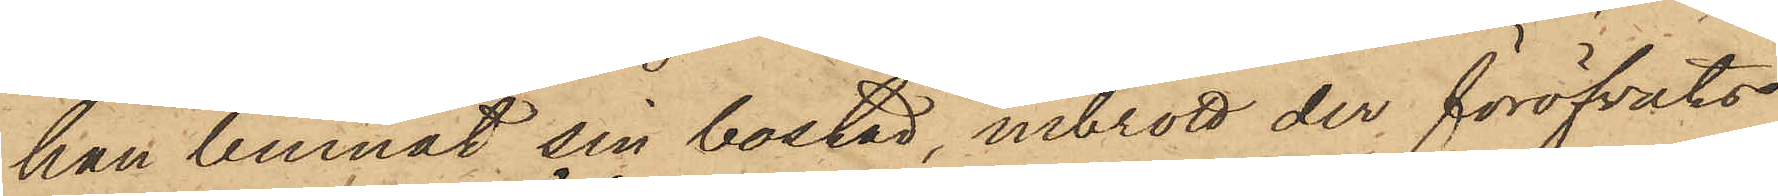han lemnat sin bostad, inbrott der föröfvats
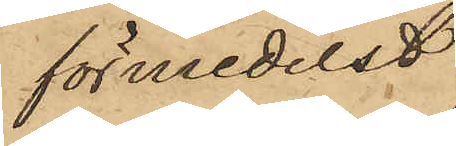förmedelst
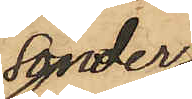sönder¬
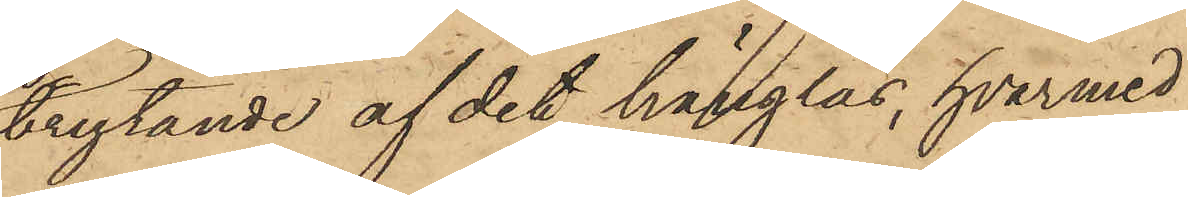brytande af det hänglås, hvarmed
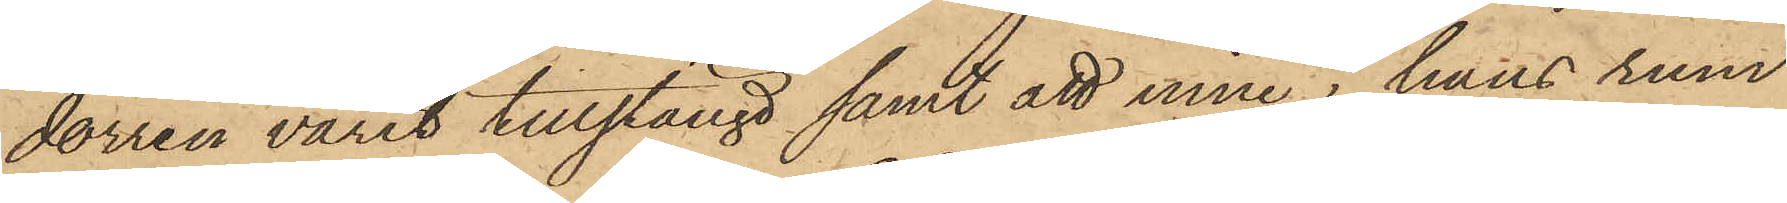dörren varit tillstängd samt att inne i hans rum
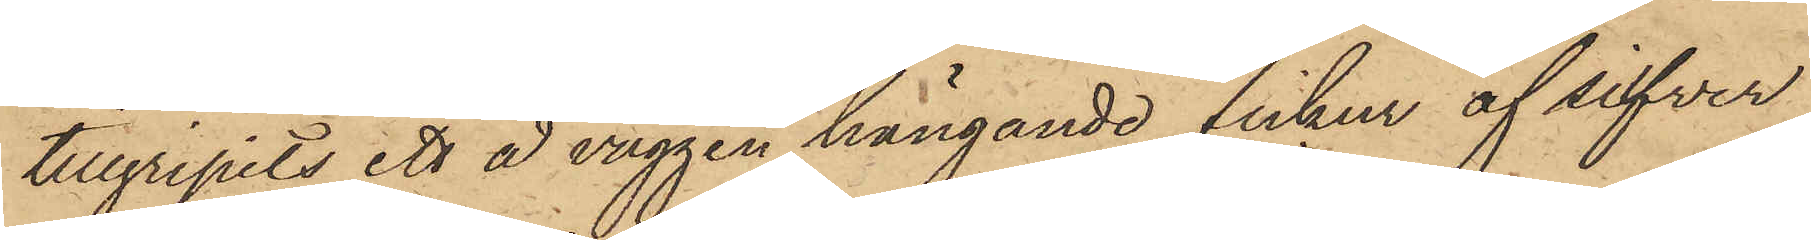tillgripits ett å väggen hängande fickur af silfver,
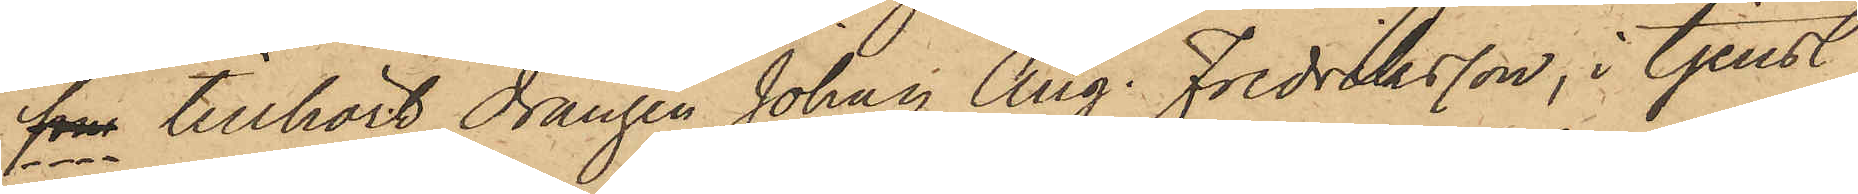som tillhört drängen Johan Aug. Fredriksson, i tjenst
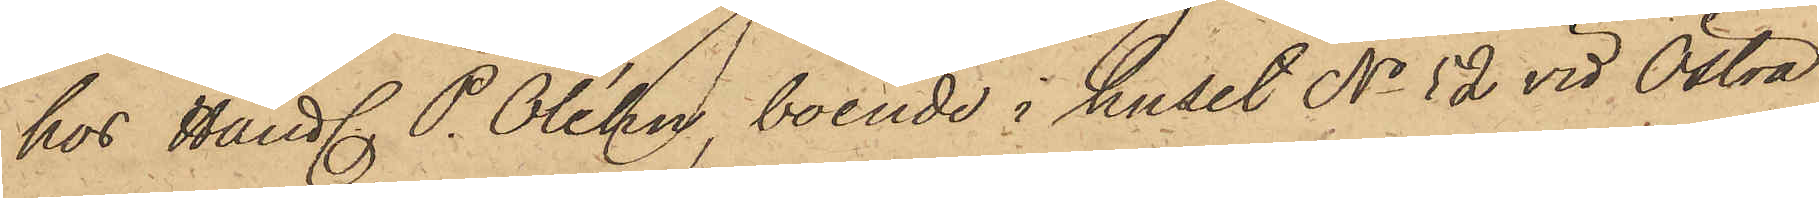hos Handl. P. Oléhn, boende i huset No 52 vid Östra
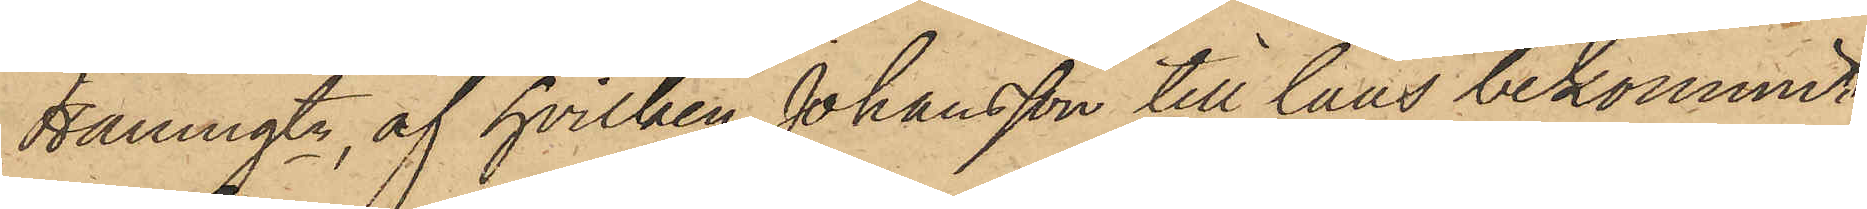Hamngtn, af hvilken Johansson till låns bekommit
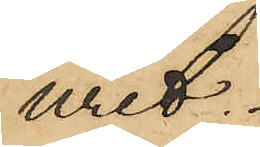uret.
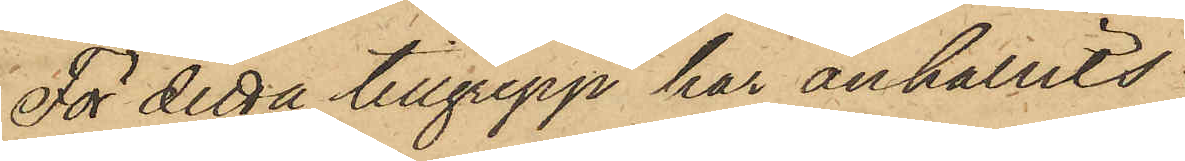För detta tillgrepp har anhållits
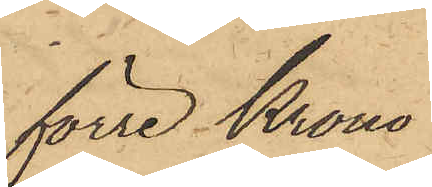förre Krono¬
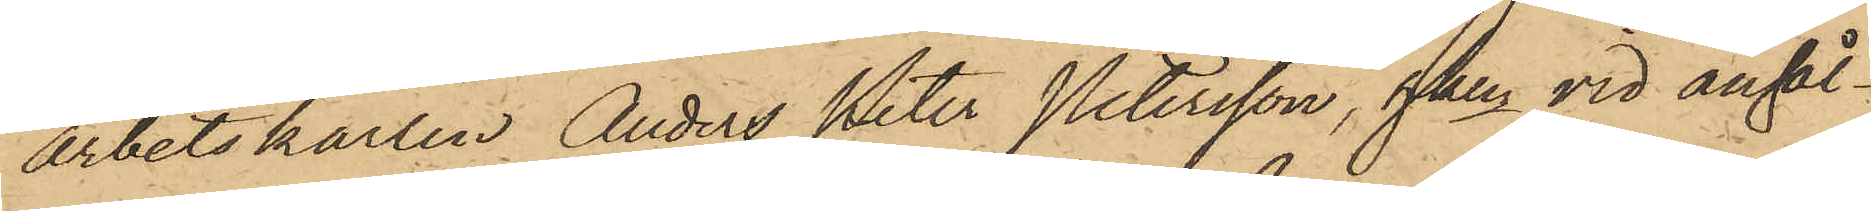arbetskarlen Anders Peter Petersson, hken vid anhål¬
